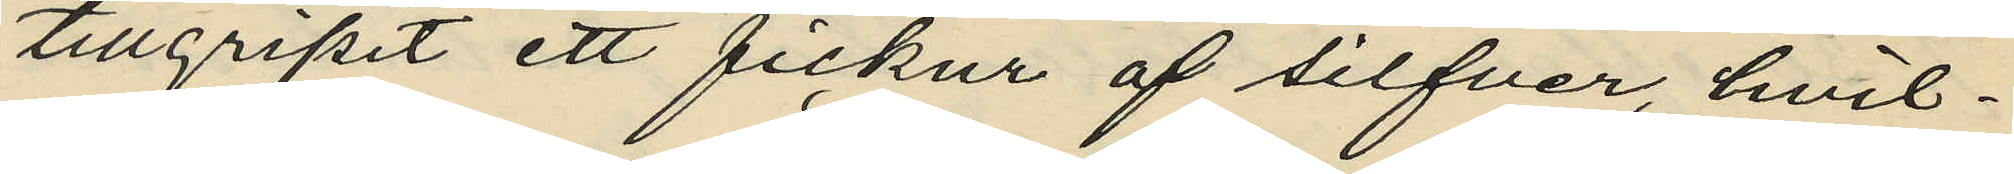tillgripit ett fickur af silfver, hvil¬
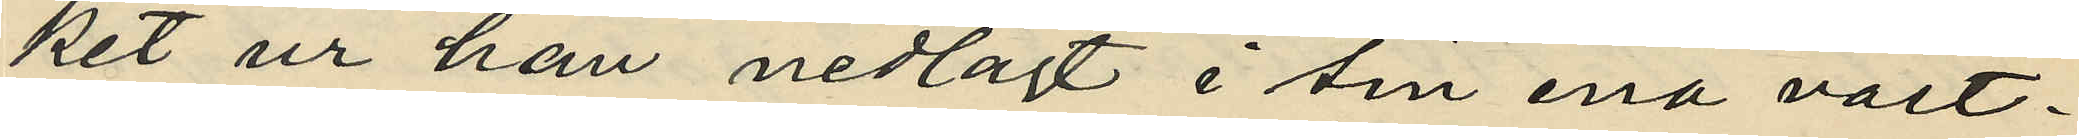ket ur han nedlagt i sin ena väst¬
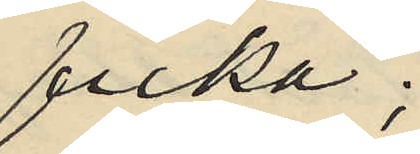ficka;
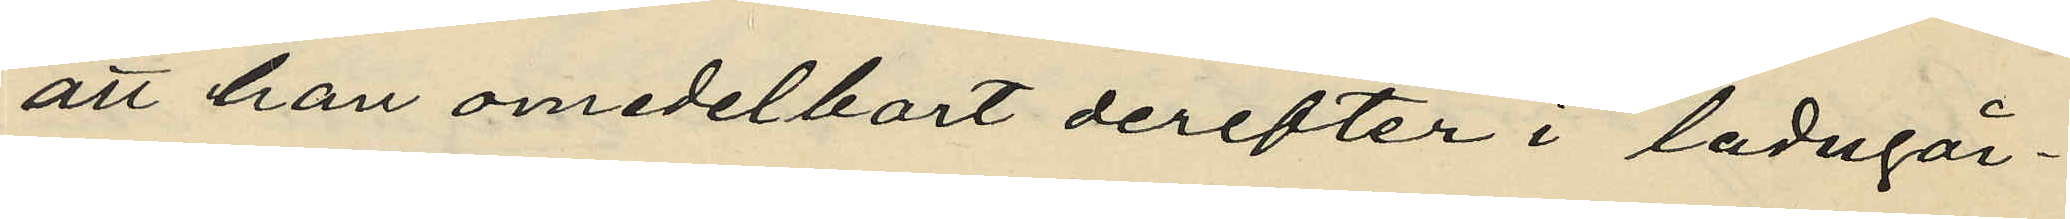att han omedelbort derefter i ladugår¬
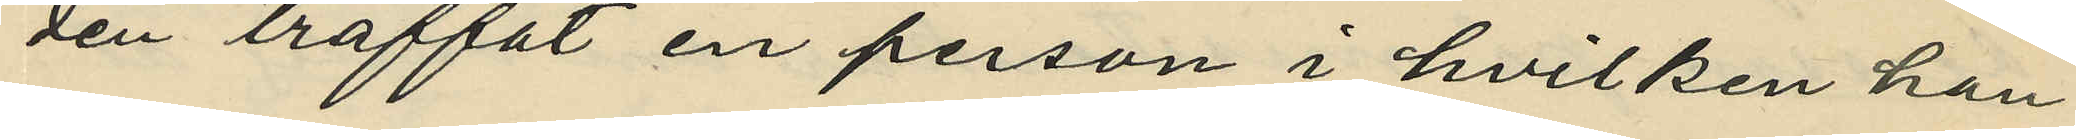den träffat en person i hvilken han
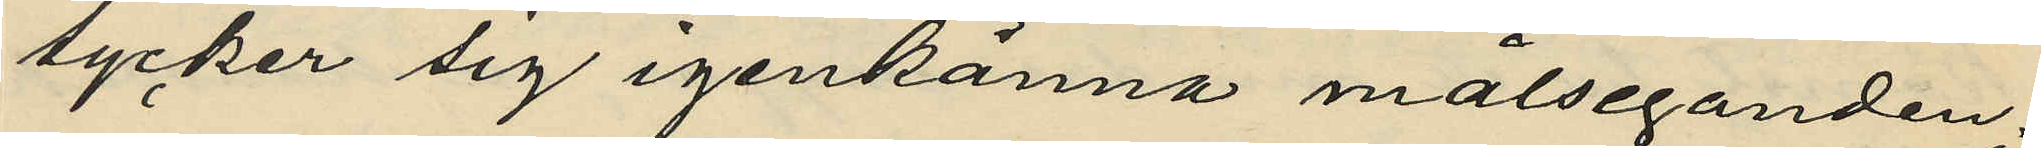tycker sig igenkänna målseganden;
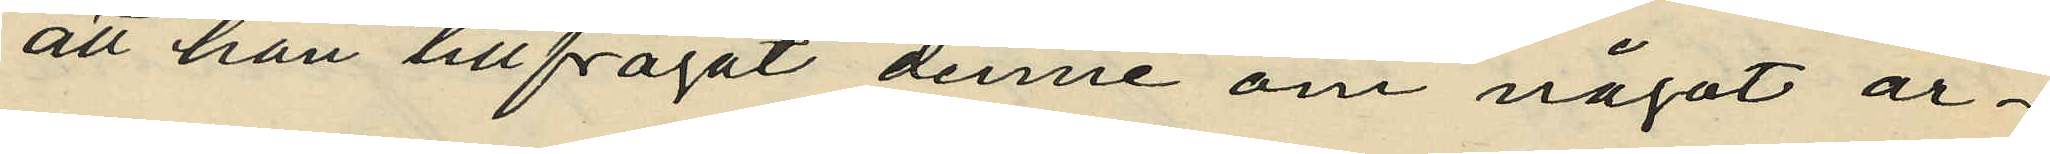att han tillfrågat denne om något ar¬
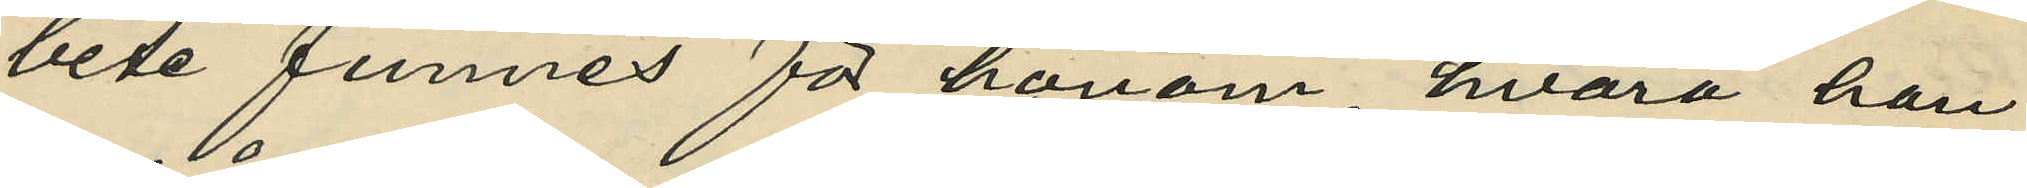bete funnes för honom, hvarå han
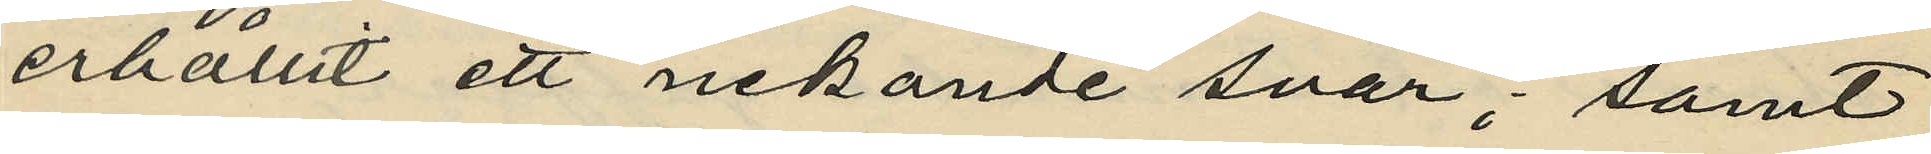erhållit ett nekande svar; samt
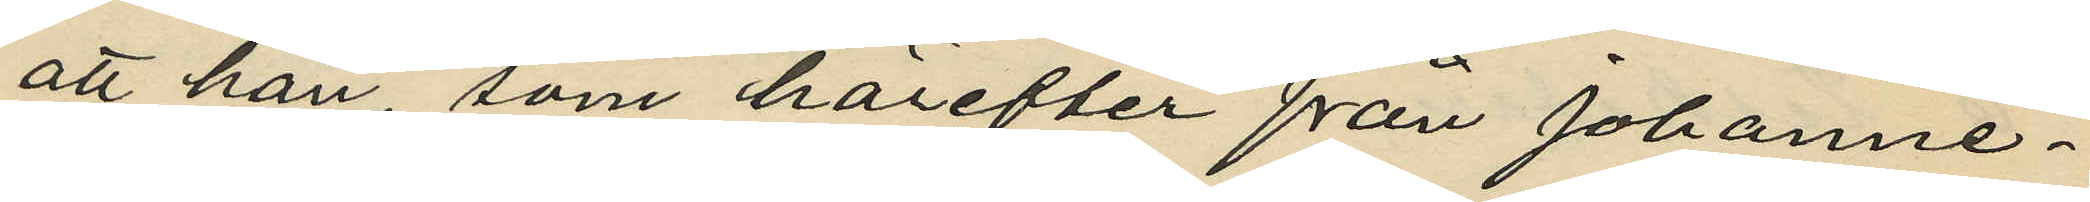att han, som härefter från Johanne¬
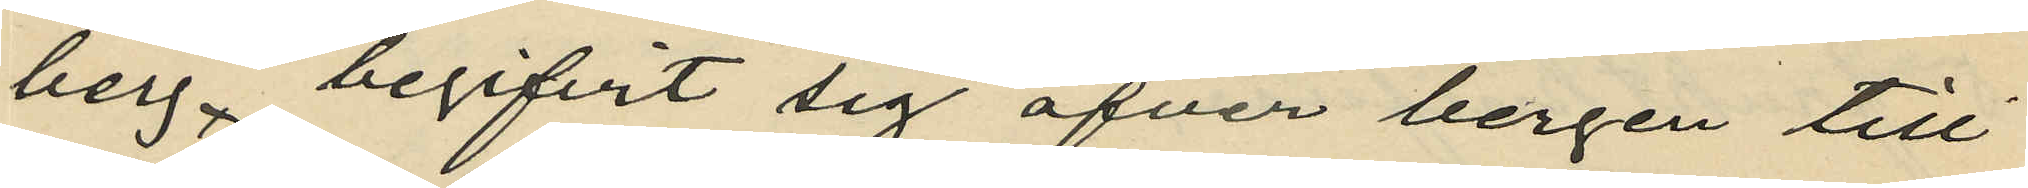berg begifvit sig öfver bergen till
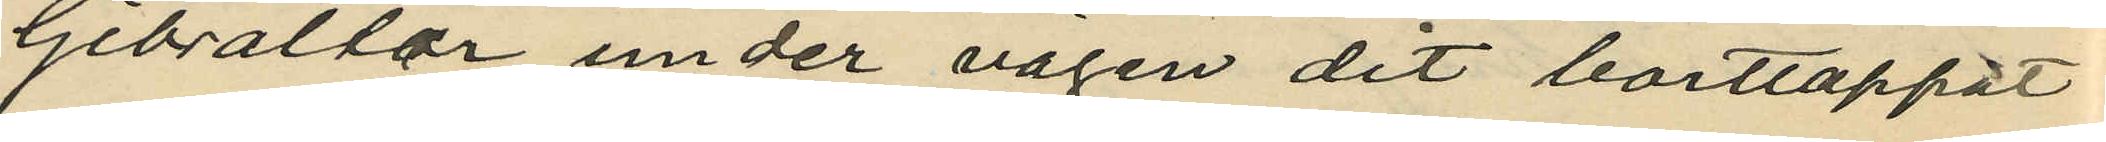Gibraltar, under vägen dit borttappat
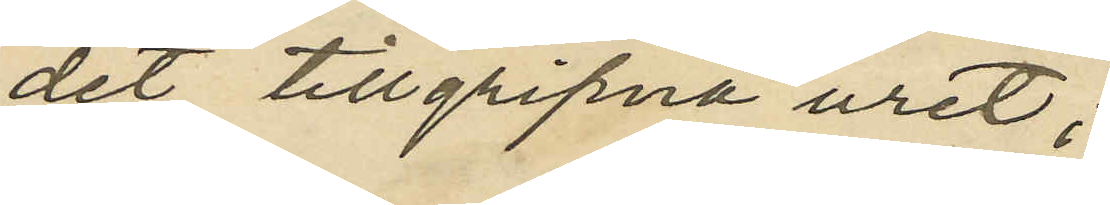det tillgripna uret;
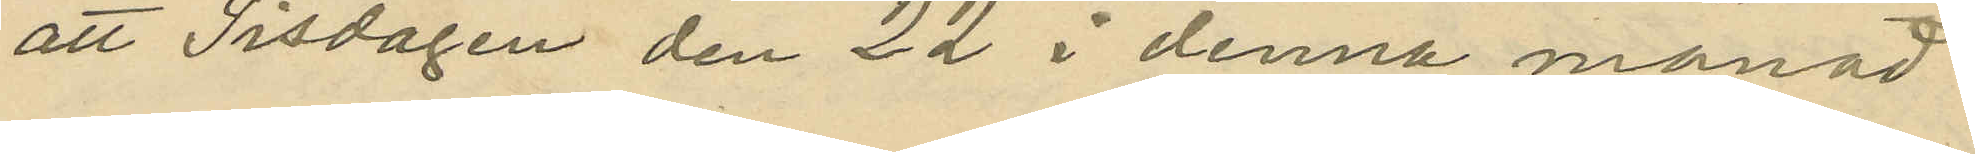att Tisdagen den 22 i denna månad
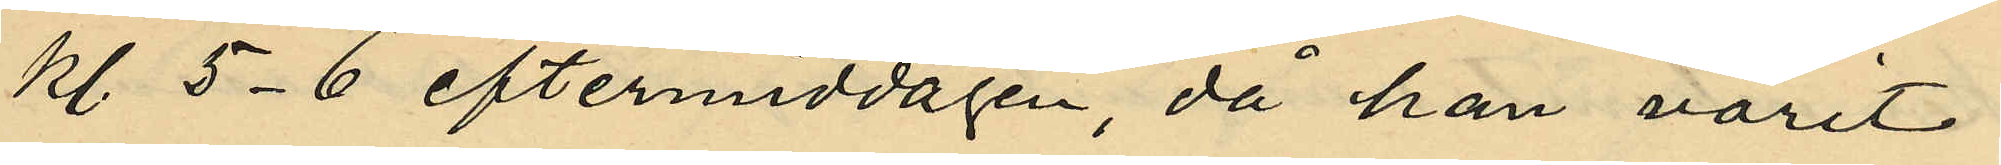kl. 5-6 eftermiddagen, då han varit
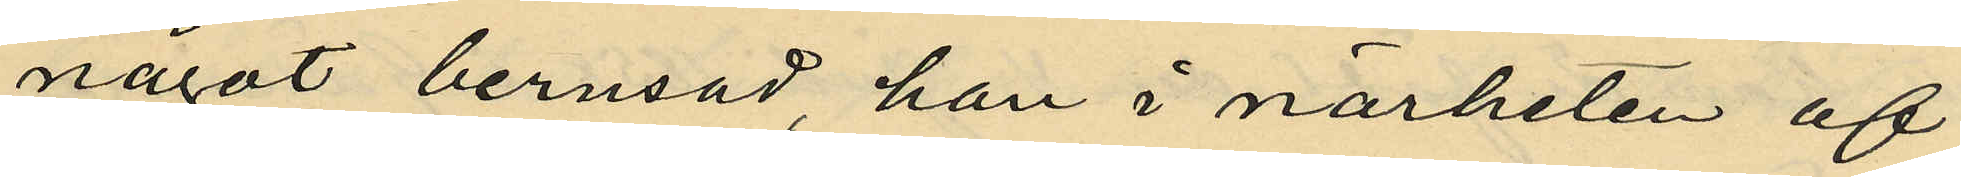något berusad, han i närheten af
